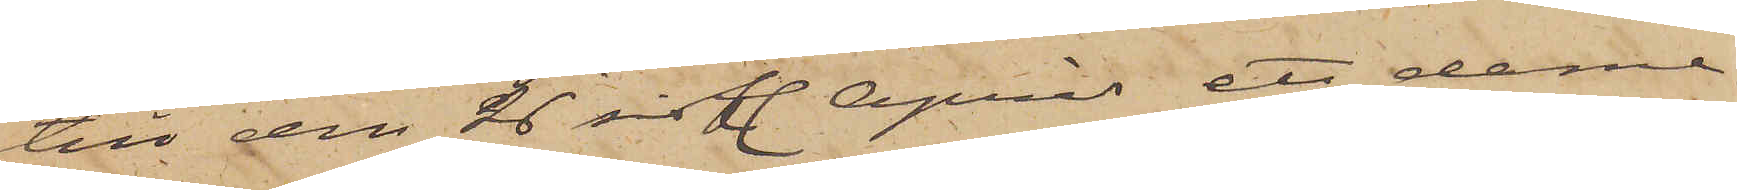till den 26 sistl. April ett dame¬
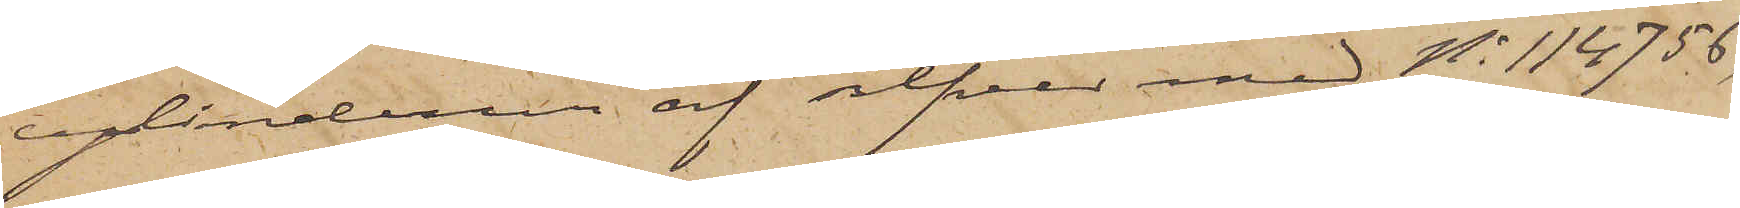cylinderur af silfver med No 114756,
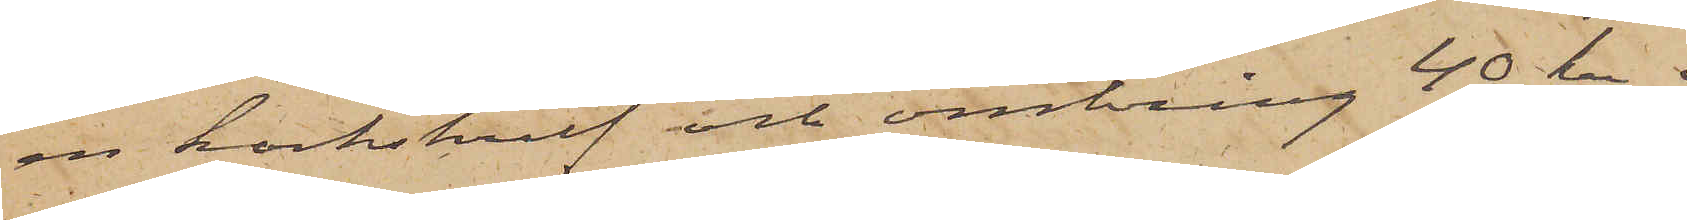en korkskruf och omkring 40 kr. i
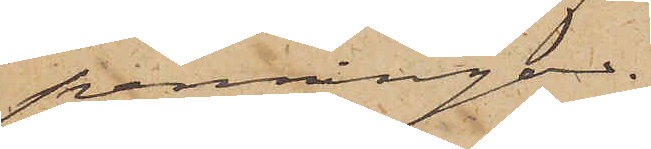penningar.
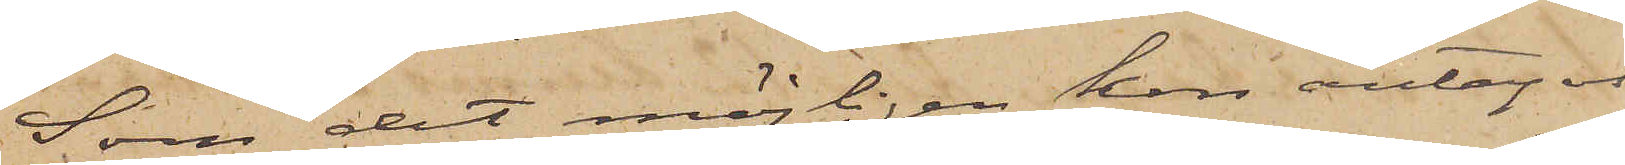Som det möjligen kan antagas,
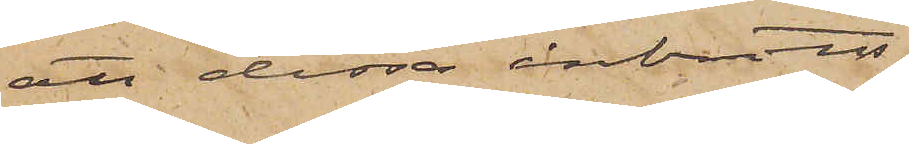att dessa inbrotts¬
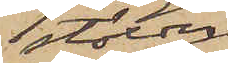stölder
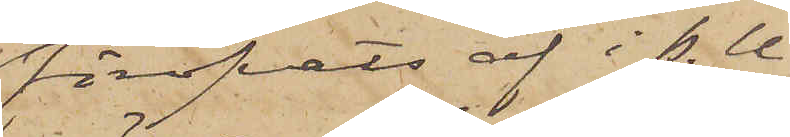föröfvats af i P.U.
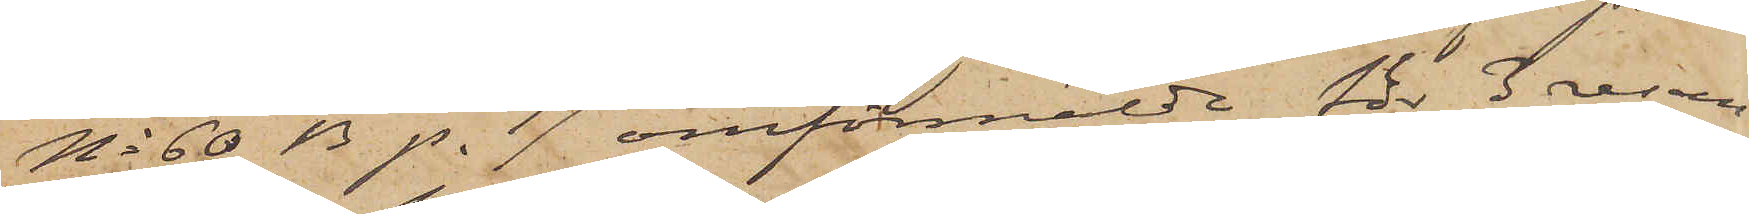No 60 B p. 17 omförmälde för 3 resan
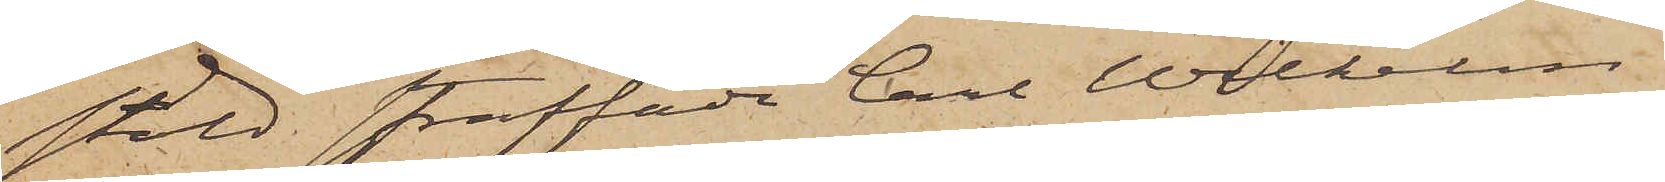stöld straffade Carl Wilhelm
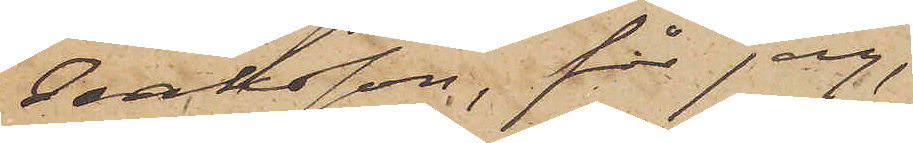Isaksson, får jag,
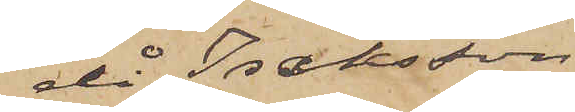då Isaksson
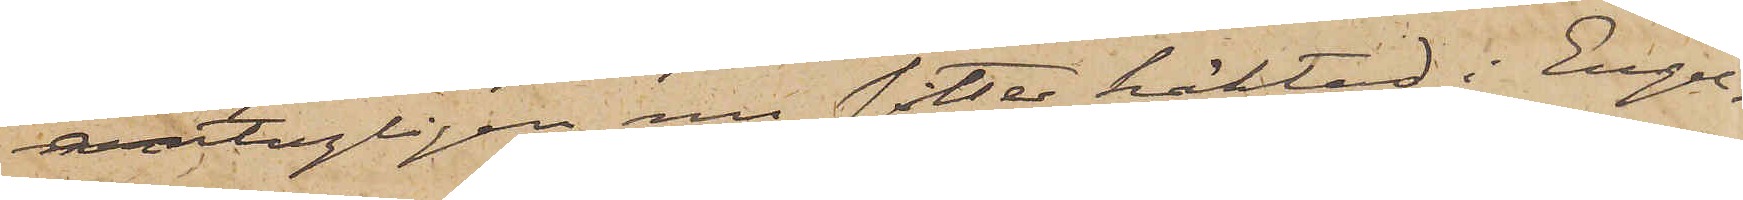antagligen nu sitter häktad i Engel¬
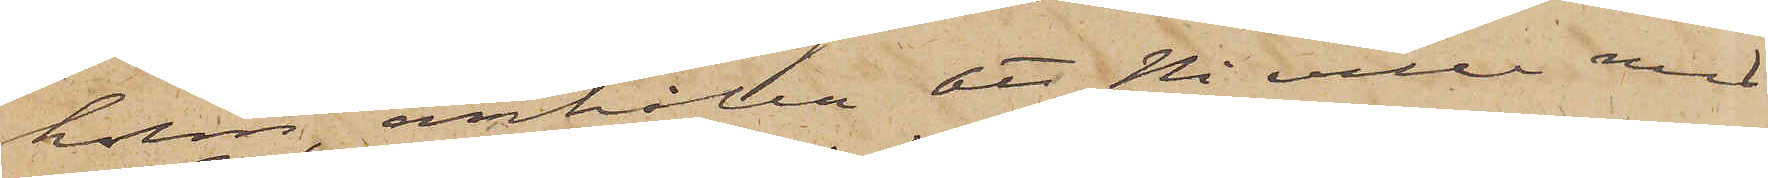holm, anhålla att Ni ville med
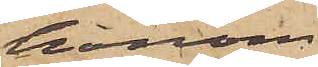honom
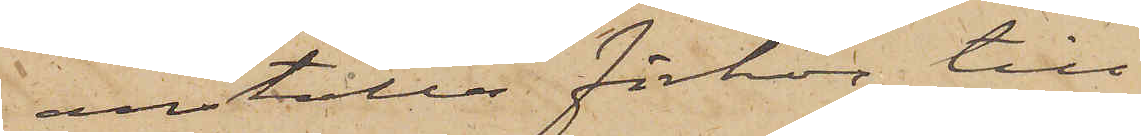anställa förhör till
